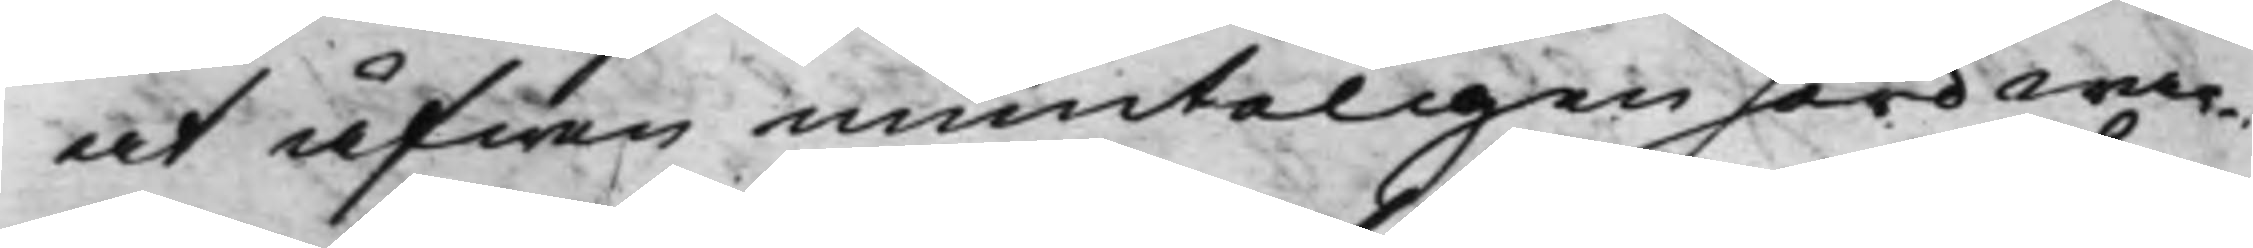at äfwen munteligen hörd war¬
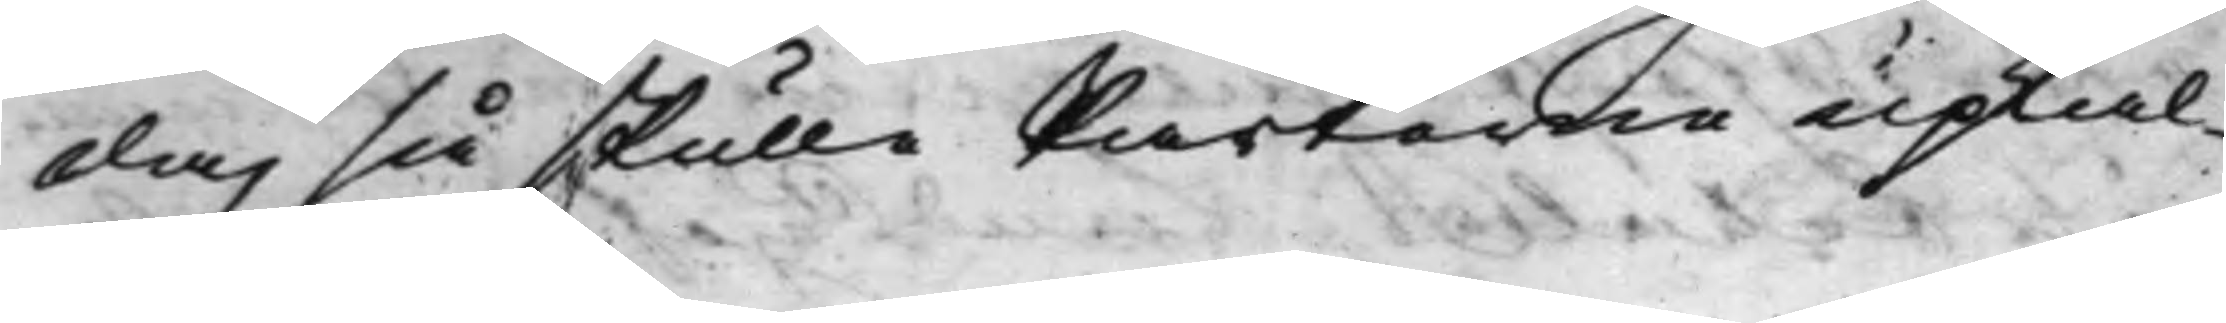da, så skulle Parterne upkal¬
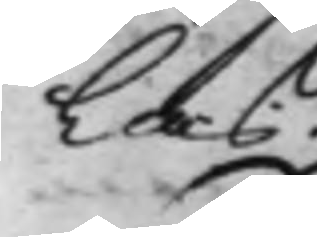las.
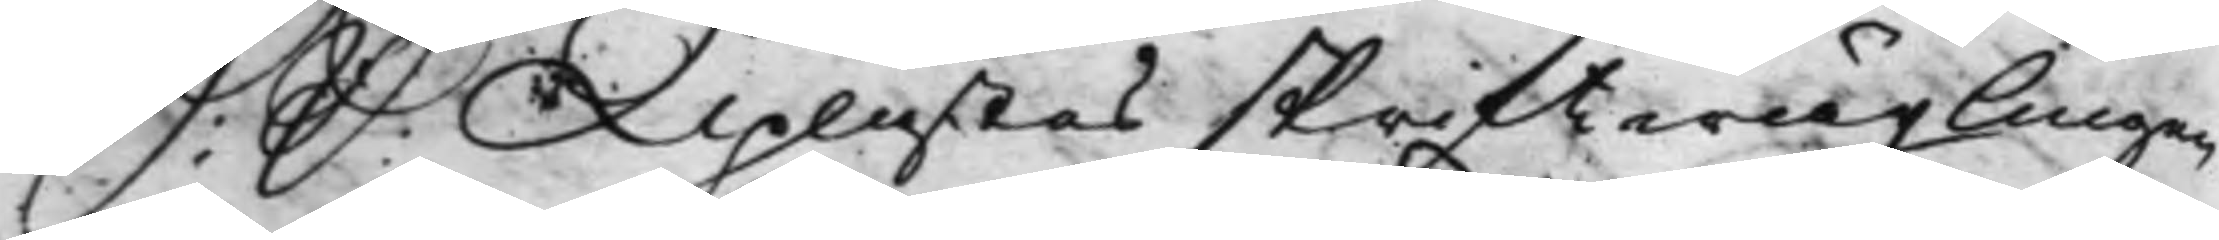S: D: Uplästes skriftwäxlingen
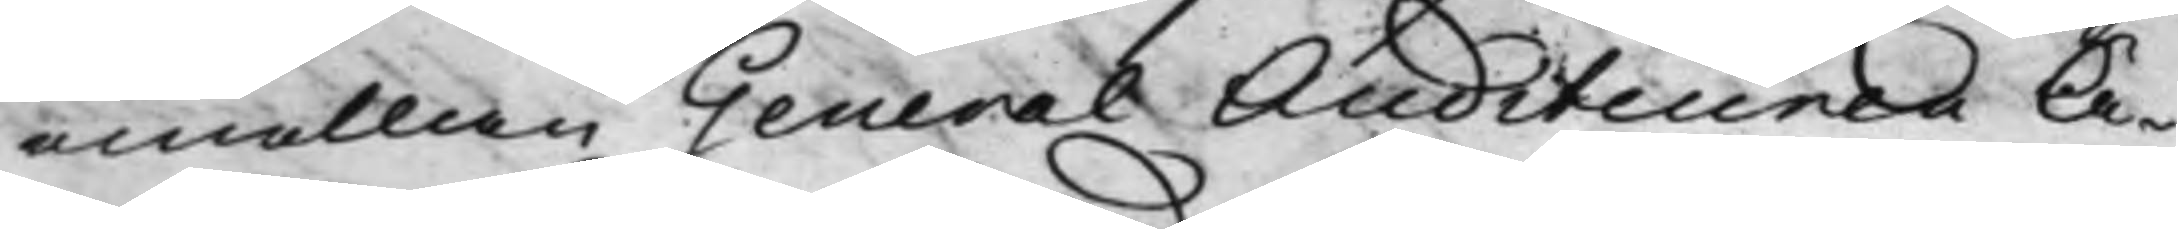emellan General Auditeuren Ä¬
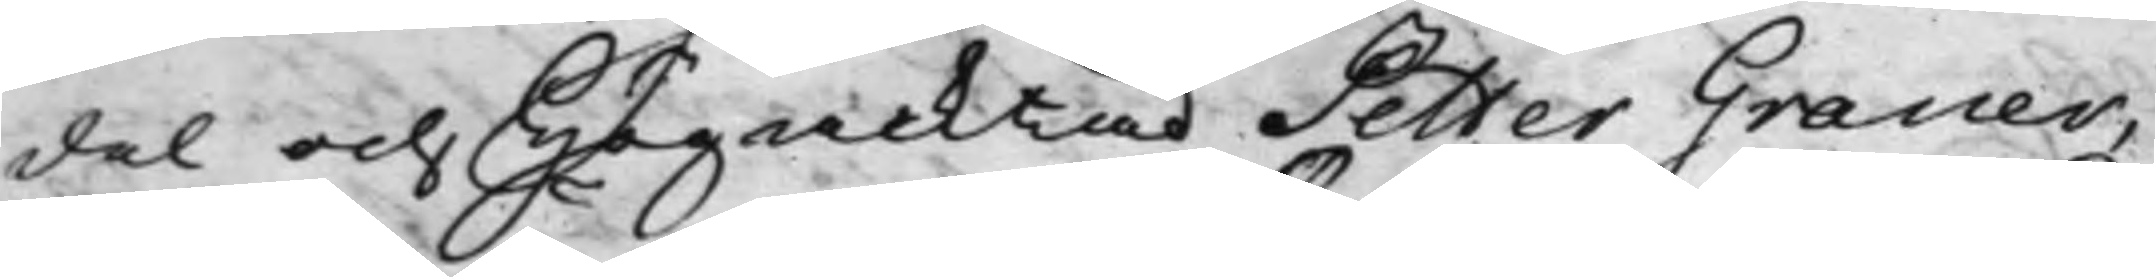del och Högacktad Petter Graner,
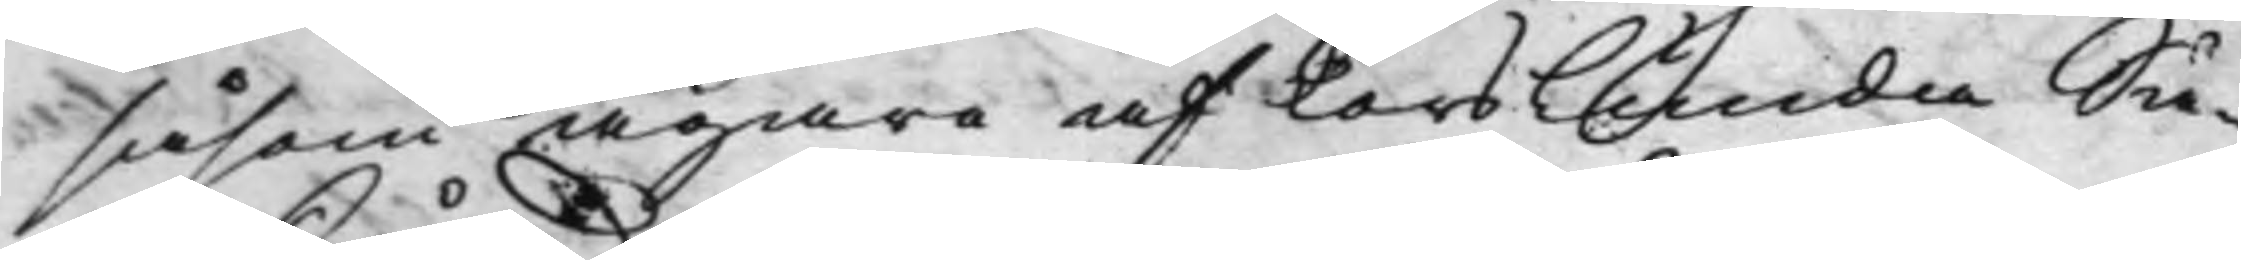såsom ägare af Torslunda Sä¬
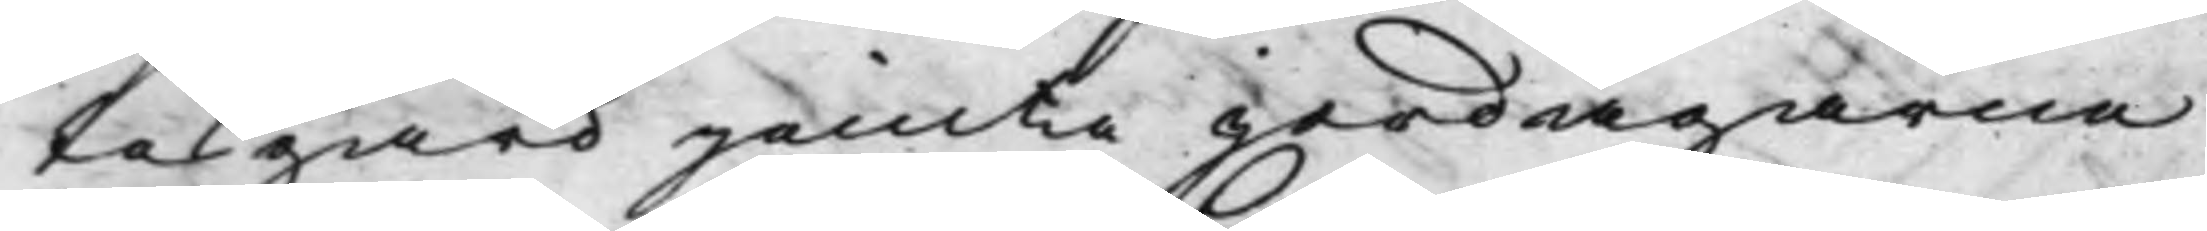tesgård jämte jordägarne
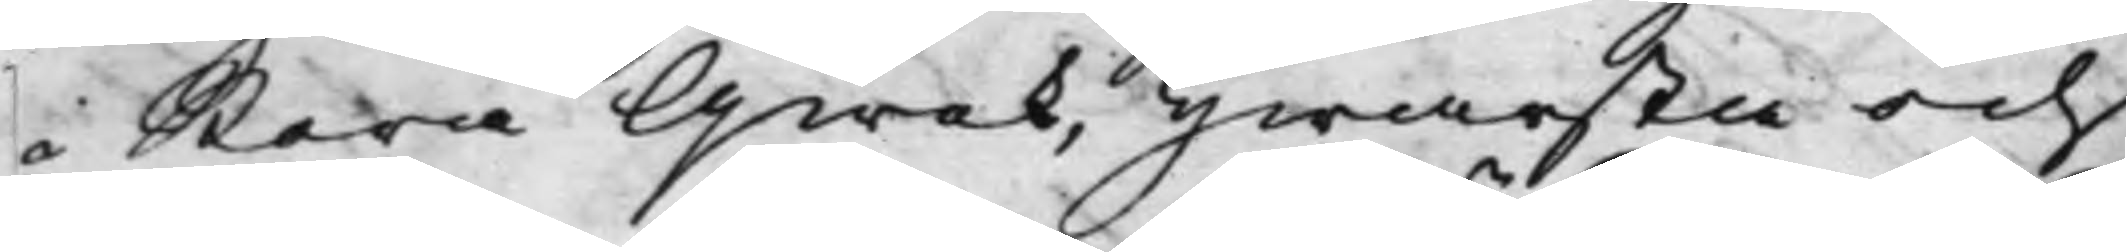i Stora Qwek, Hwarsta och
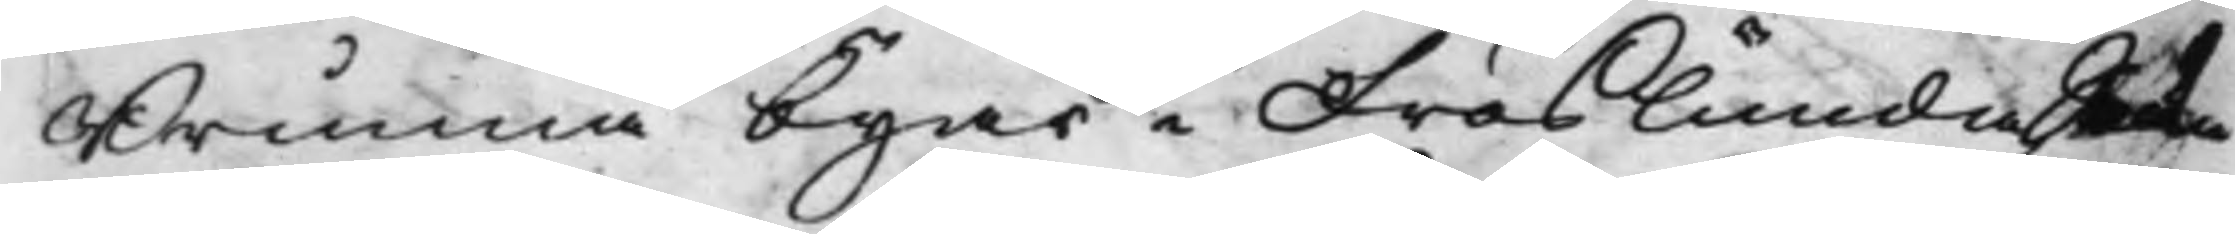Brunna byar i Fröslunda Sockn
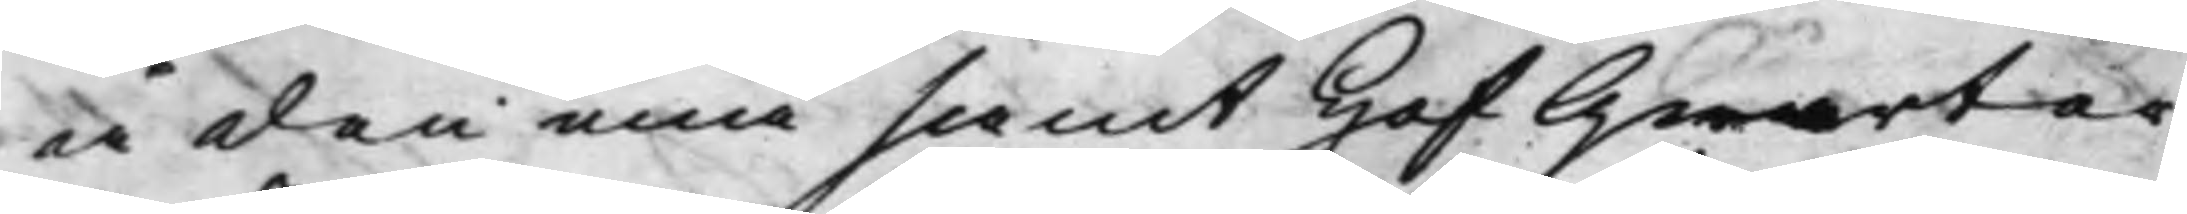å den ena samt Hof Qwarter¬
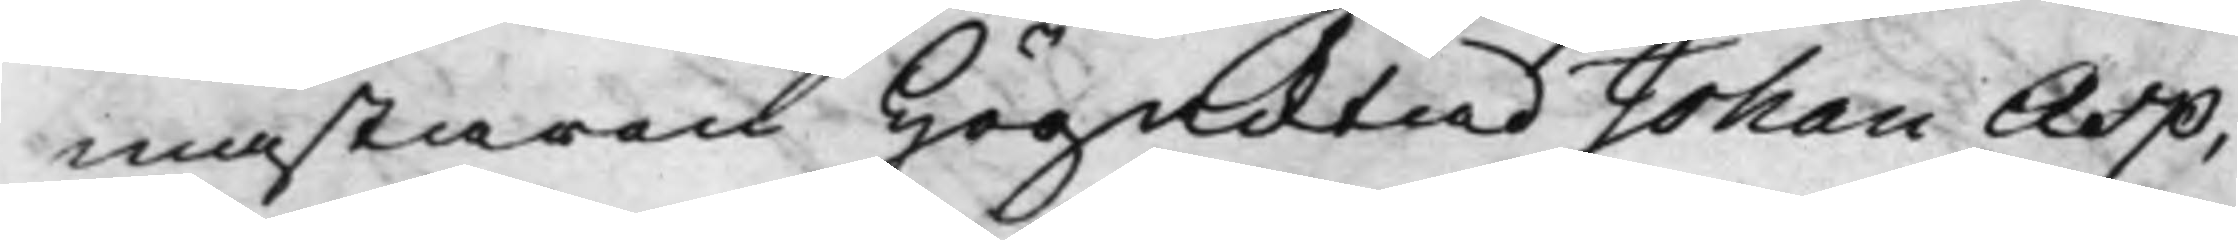mästaren Högacktad Johan Asp,
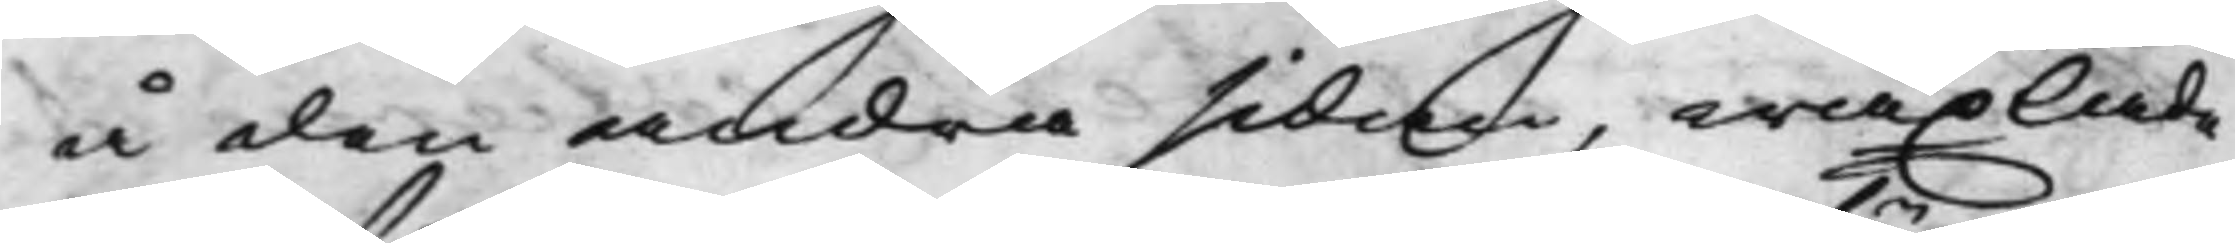å den andra sidan, wäxlade
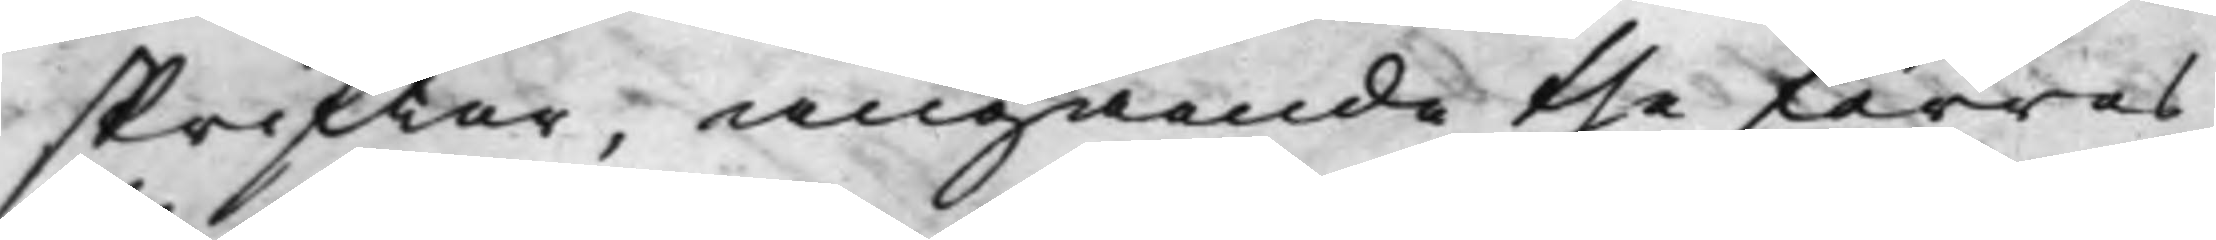skrifter, angående the förras
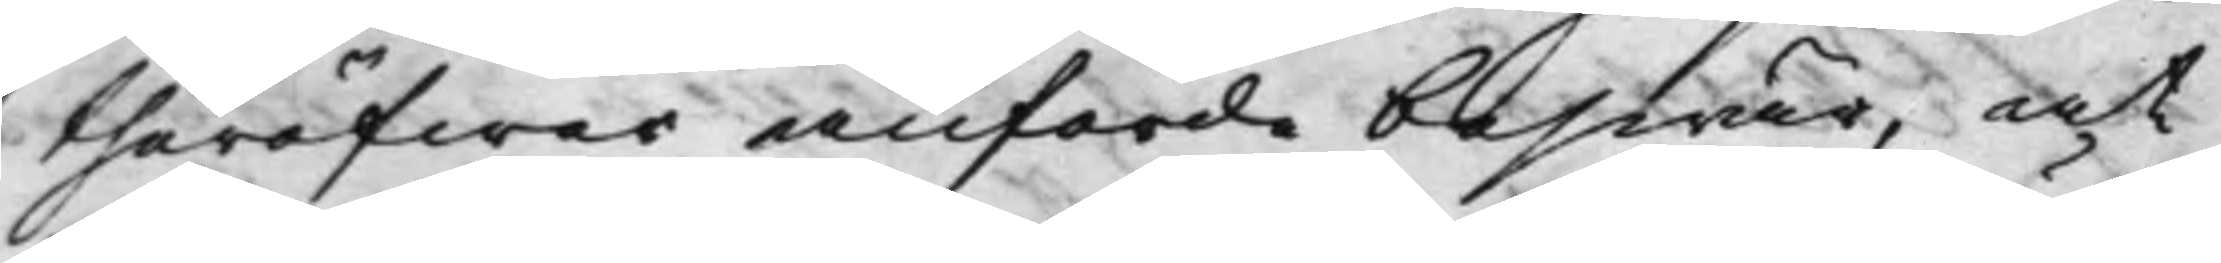theröfwer anförde beswär, at
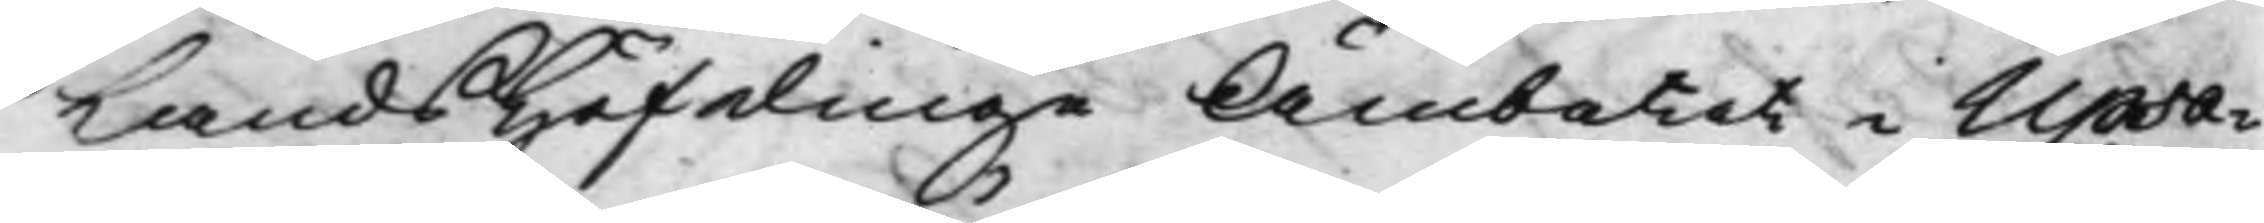LandsHöfdinge Ämbetet i Upsa¬
